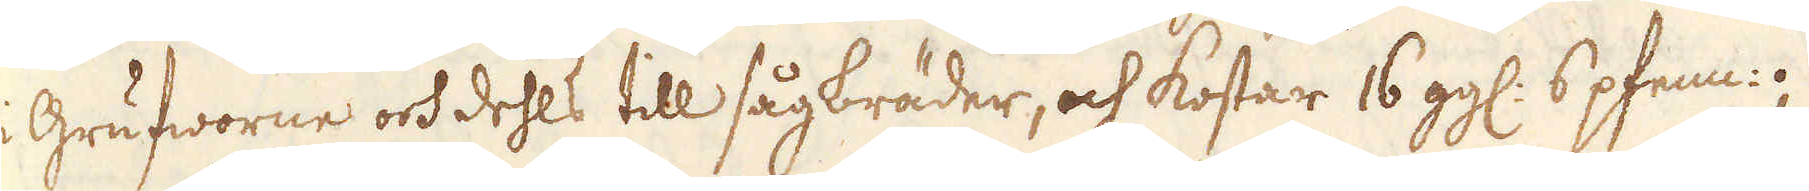i Grufworne och dehls till sågbräder, och kostar 16 gg: 6 pfenn:;
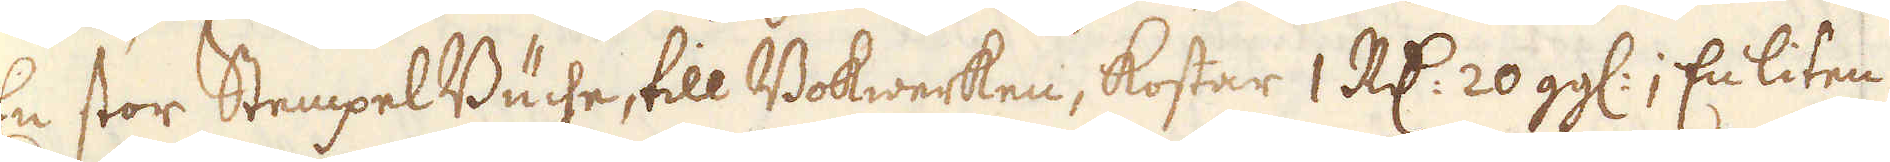En stor Stempel Buche, till Bokwerken, kostar 1 R:dr 20 gg:; En liten
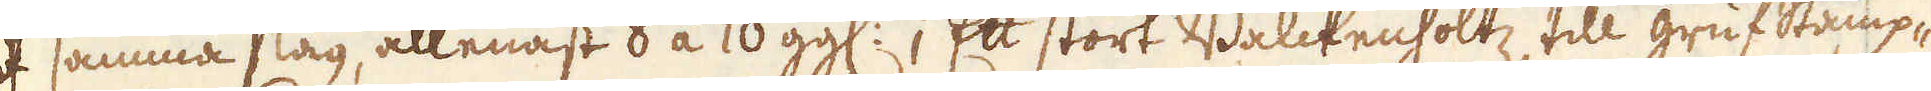af samma slag, allenast 8 á 10 gg:; Ett stort Balckenholtz, till grufstämp-
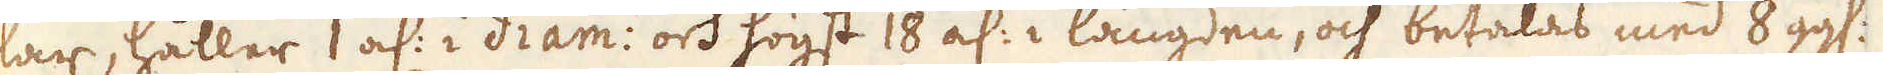lar, håller 1 al: i diam: och högst 18 al: i längden, och betalas med 8 gg:
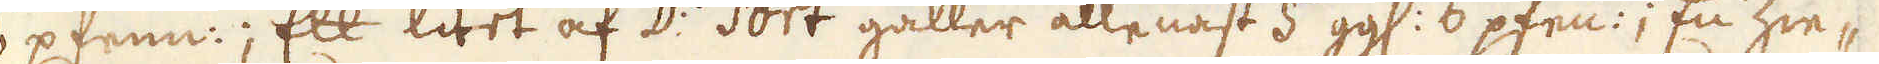6 pfenn:; Ett litet af D:o sort gäller allenast 5 gg: 6 pfenn:; En Zie-
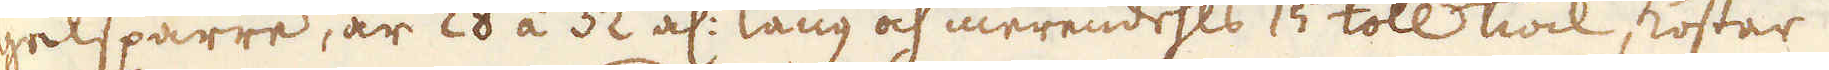gelsparre, är 28 á 32 al: lång och merendels 15 toll tiock, kostar
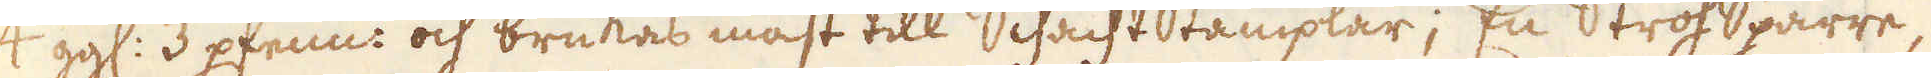4 gg: 3 pfenn: och brukas mäst till SchachtStämplar; En StrosSparre,
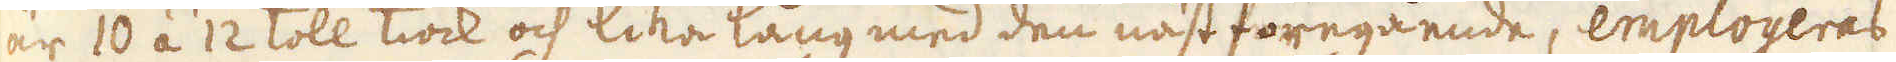är 10 á 12 toll tiock och lika lång med den näst föregående, employeras
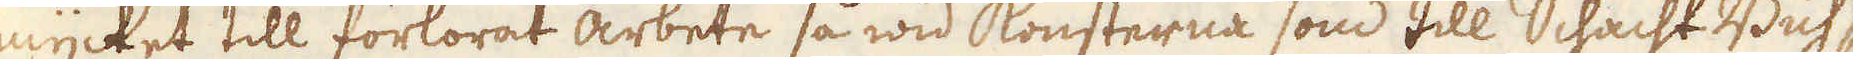mycket till förlorat arbete så wid konsterna som till Schacht Buh-
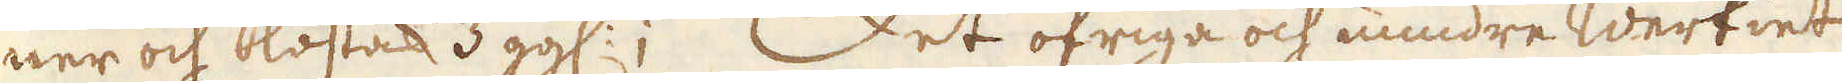ner och kostar 3 gg:; Det öfriga och mindre werkiet
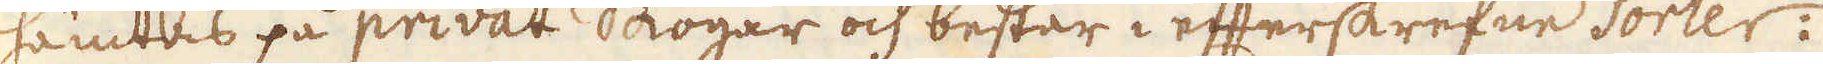hämtas på privat skogar och består i efterskrefne sorter:
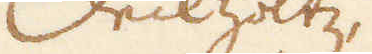Deckholtz,
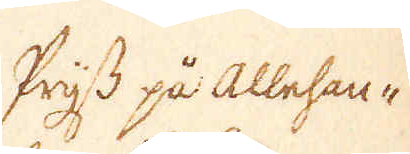Prijs på Allehan-
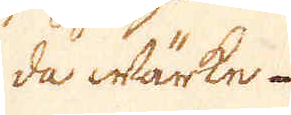da wärke.
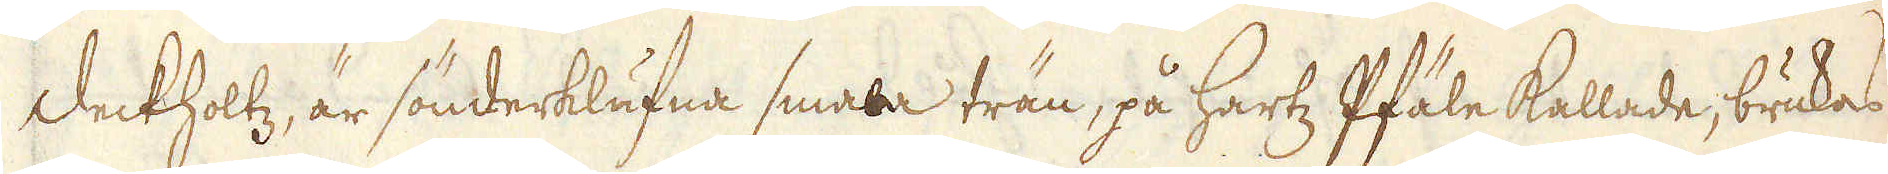Deckholtz, är sönderklufna smala trän, på Hartz Pfäle kallade, brukas
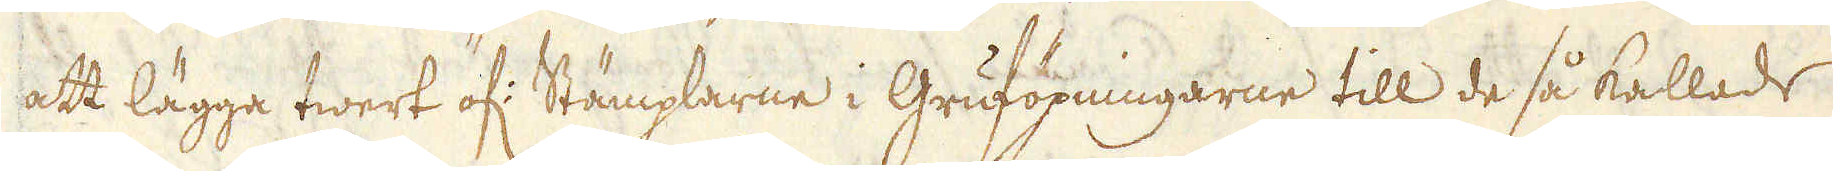att lägga twert öf: Stämplarne i Gruföpningarne till de så kallade
